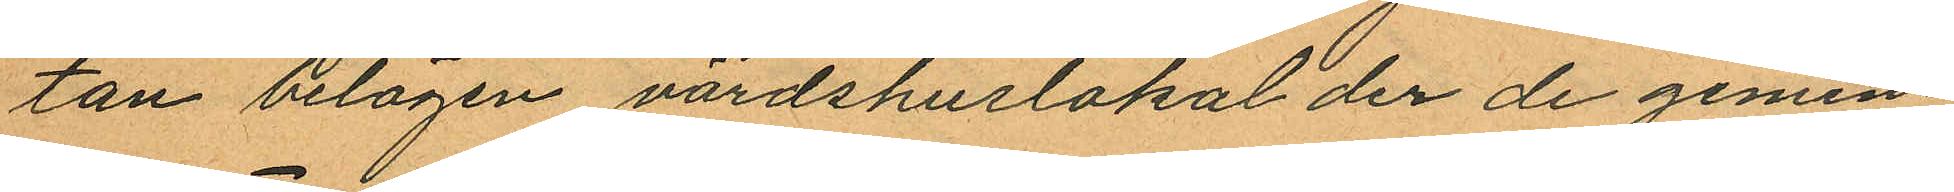tan belägen värdshuslokal der de gemen¬
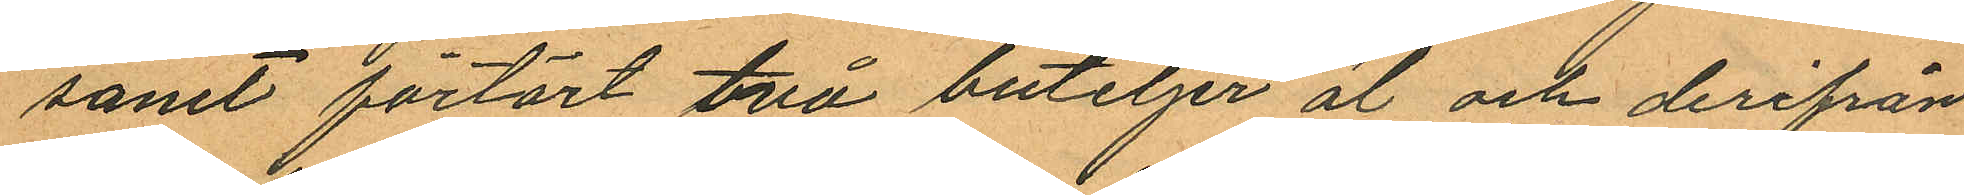samt förtärt två buteljer öl och derifrån
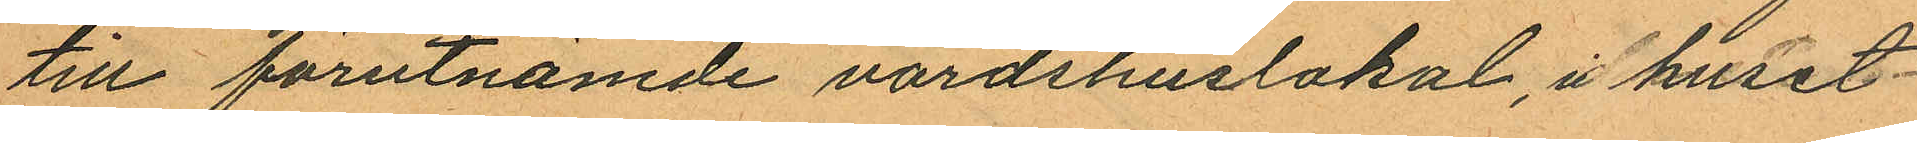till förutnämde värdshuslokal, i huset
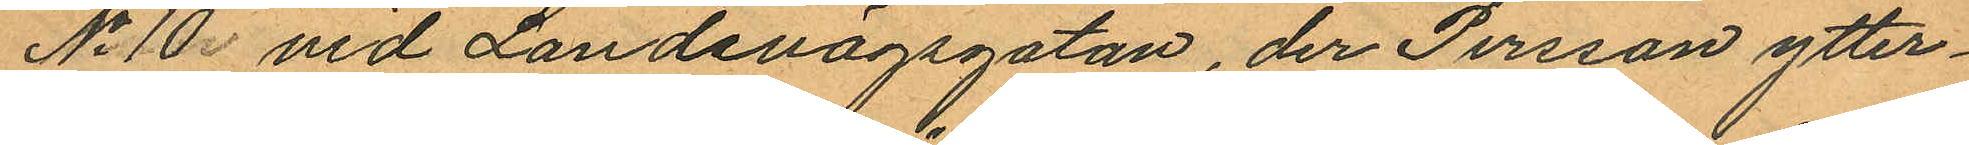No 10 vid Landsvägsgatan, der Persson ytter¬
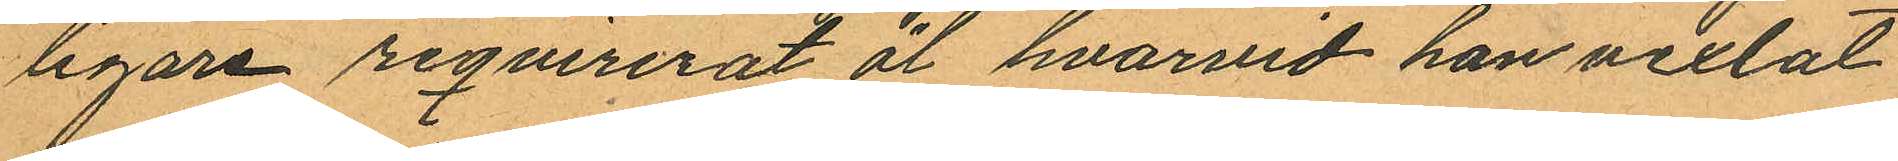ligare reqvirerat öl, hvarvid han vexlat
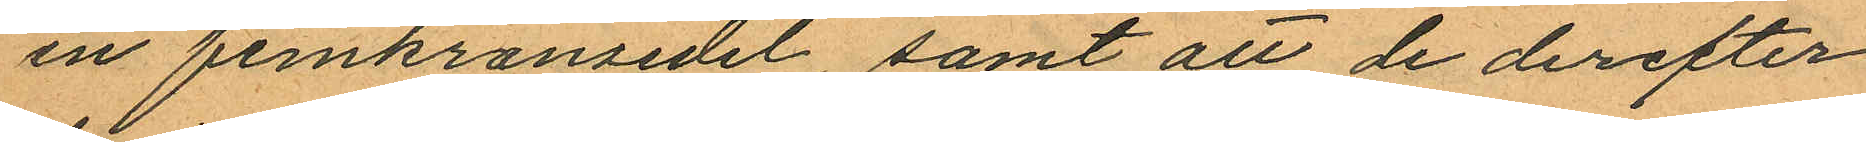en femkronsedel, samt att de derefter
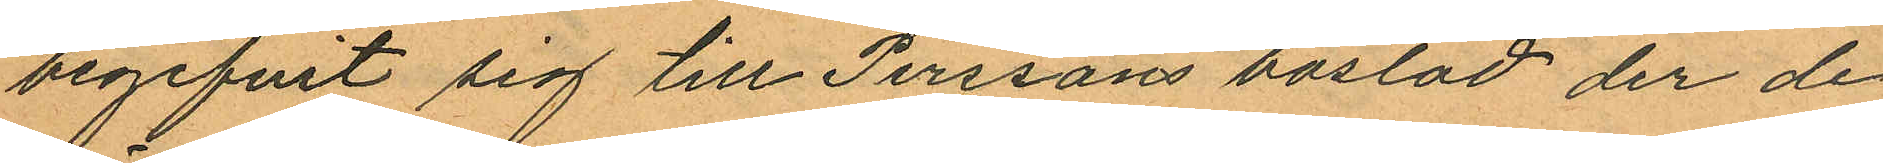begifvit sig till Perssons bostad, der de
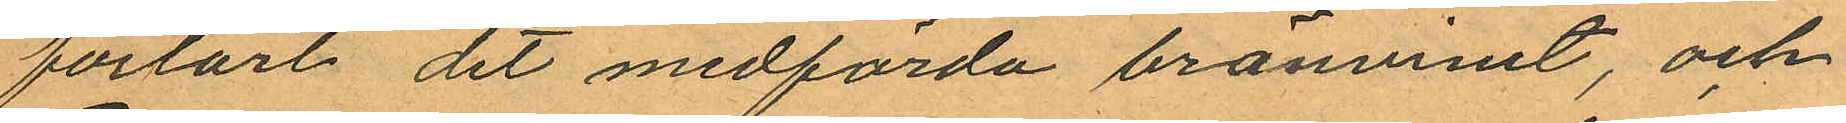förtärt det medförda bränvinet, och
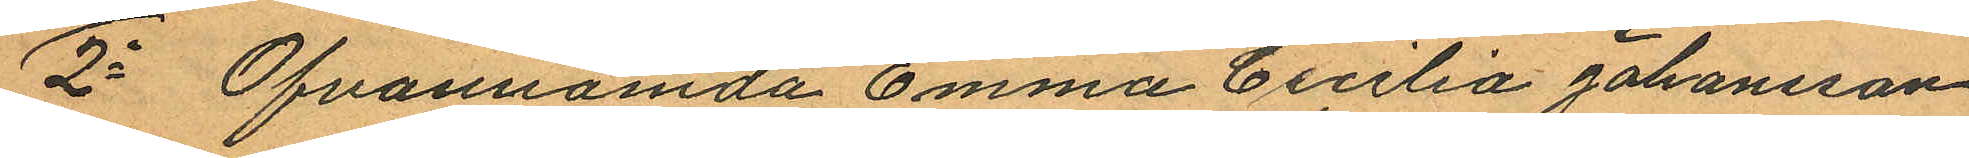2o Ofvannämde Emma Cecilia Johansson
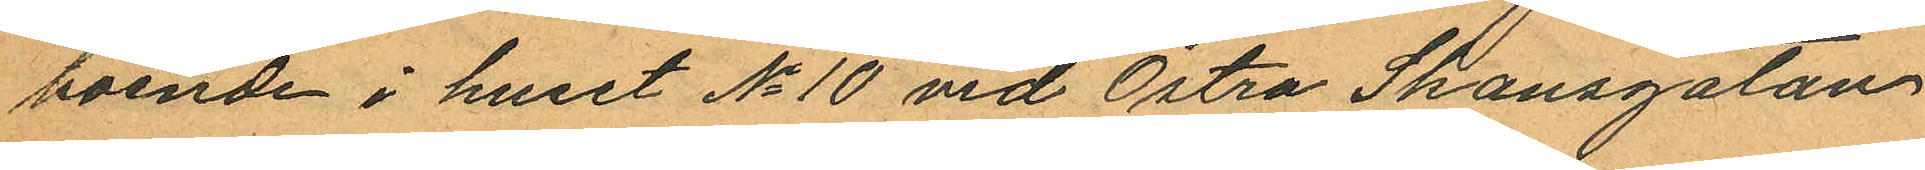boende i huset No 10 vid Östra Skansgatan
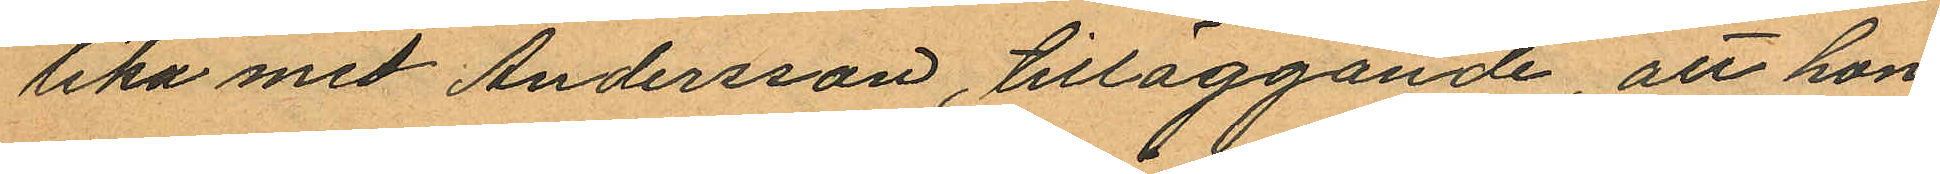lika med Andersson, tilläggande, att hon
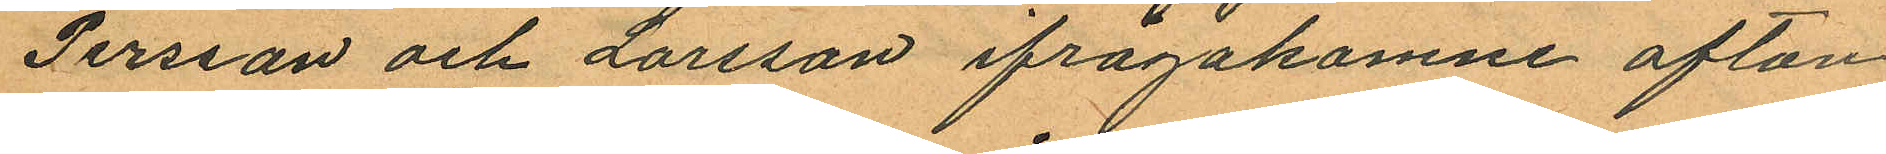Persson och Larsson ifrågakomne afton
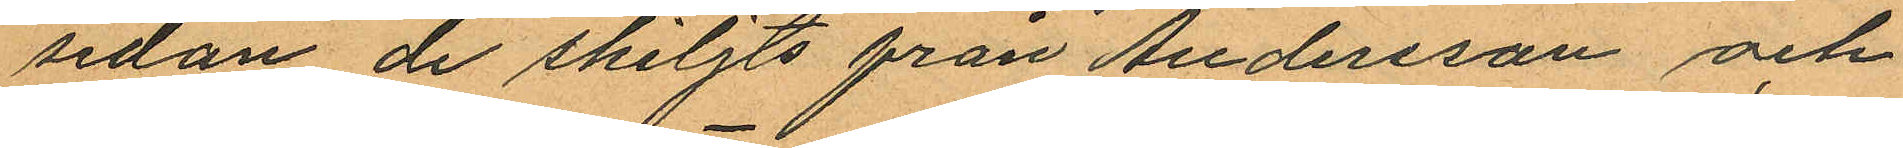sedan de skiljts från Andersson och
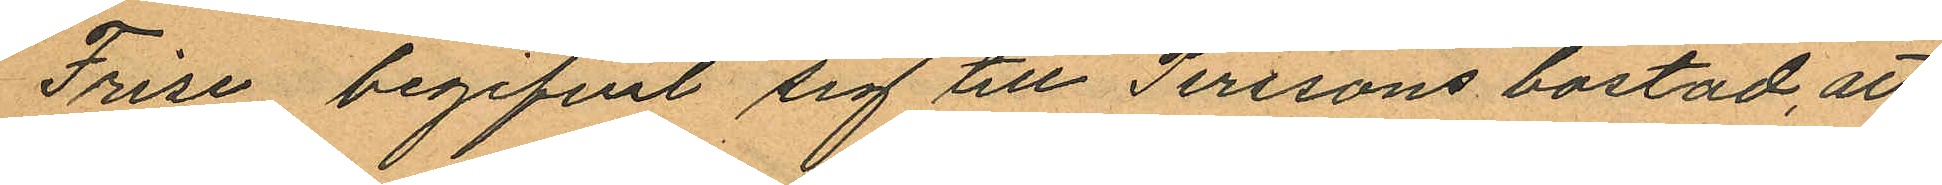Frise, begifvit sig till Perssons bostad, att
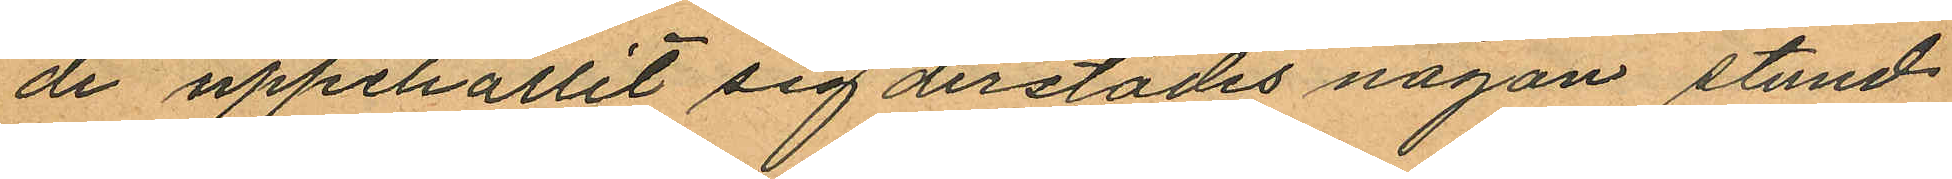de uppehållit sig derstädes någon stund
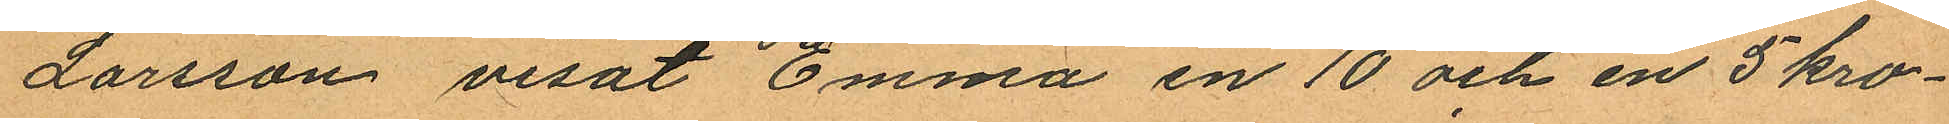Larsson visat Emma en 10 och en 5 kro¬
